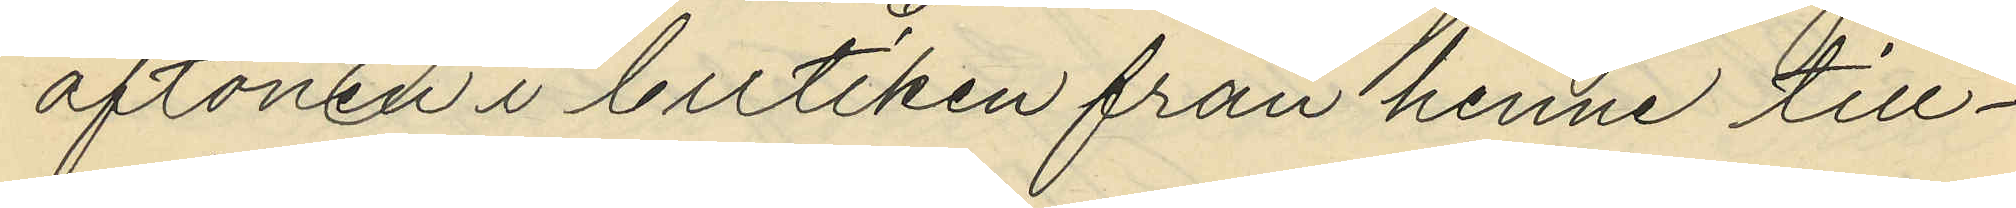aftonen i butiken från henne till¬
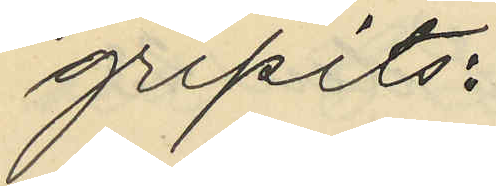gripits:
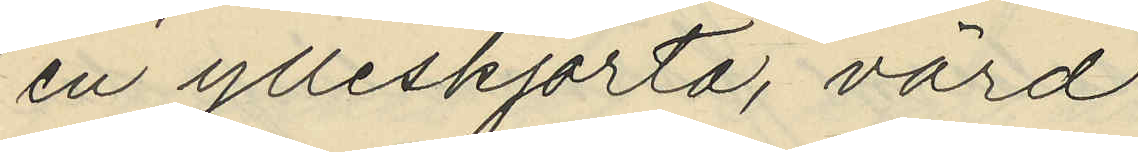en ylleskjorta, värd
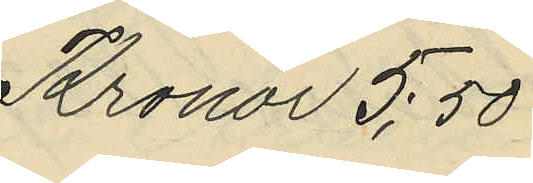Kronor 5:50
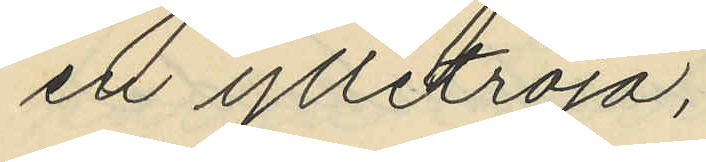ett ylletröja,
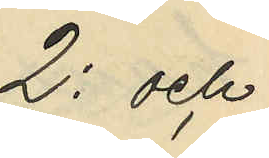2: och
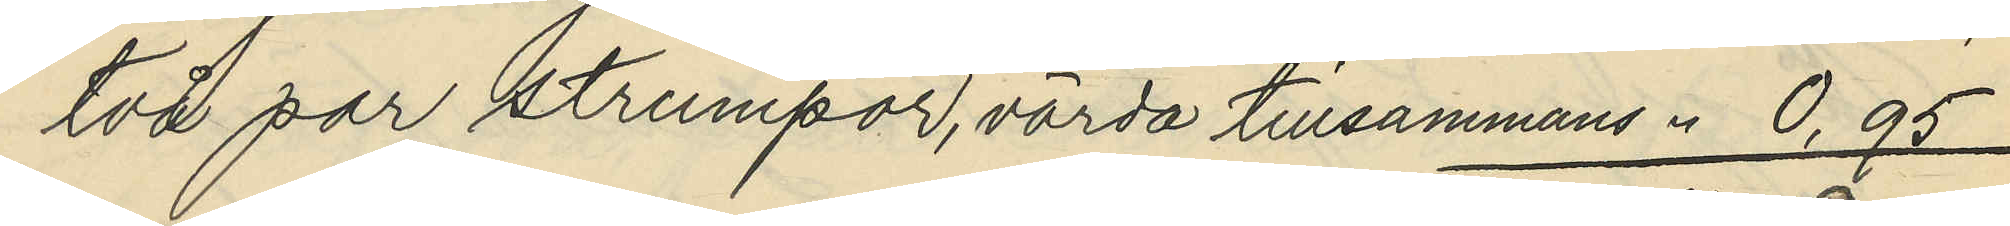två par strumpor, värda tillsammans " 0.95
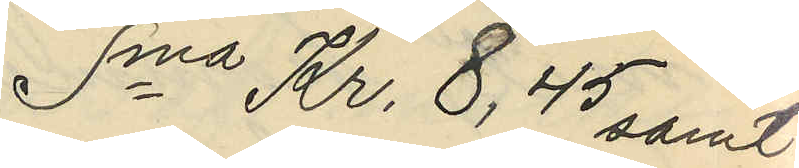Sma Kr. 8,45 samt
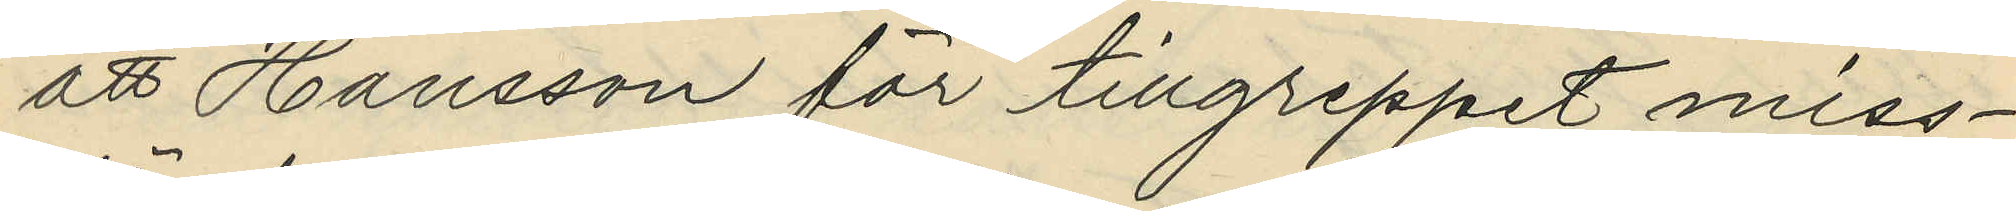att Hansson för tillgreppet miss¬
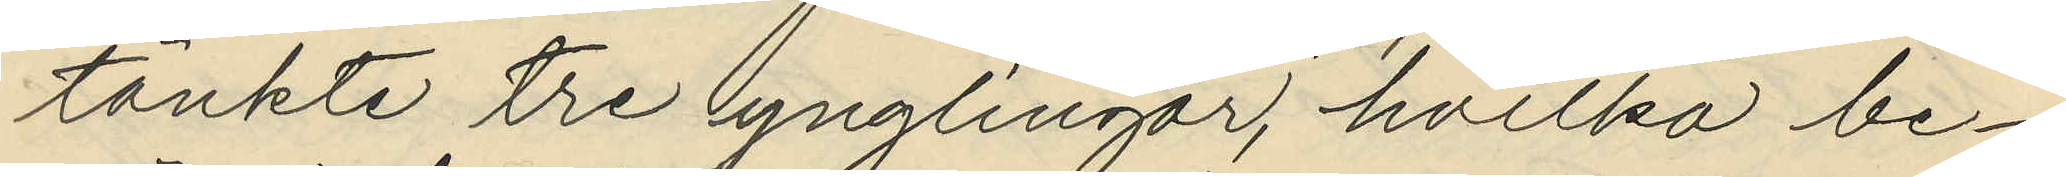tänkte tre ynglingar, hvilka be¬
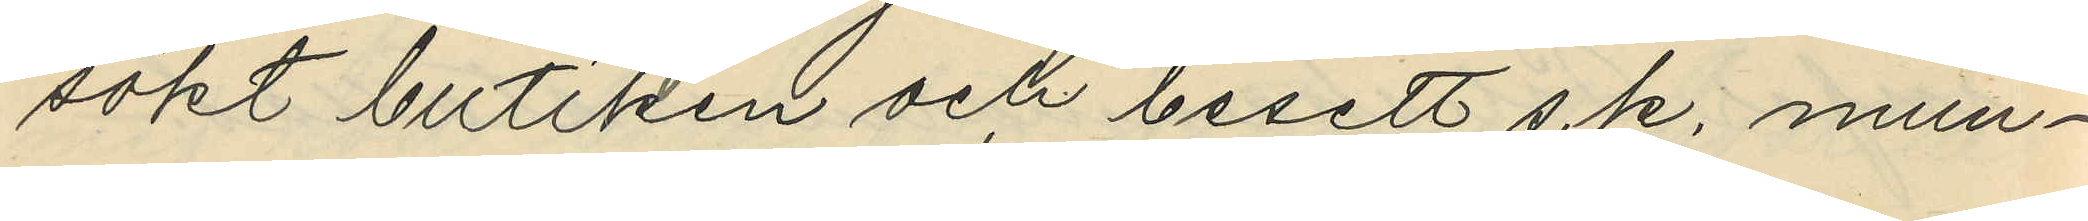sökt butiken och besett s.k. mun¬
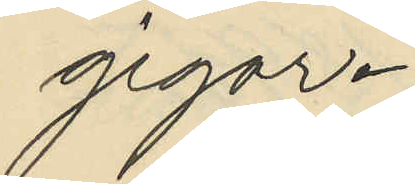gigar.
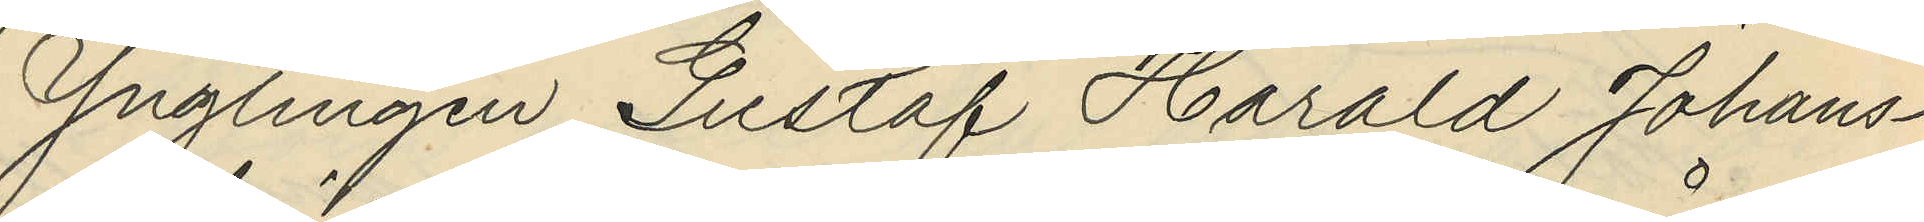Ynglingen Gustaf Harald Johans¬
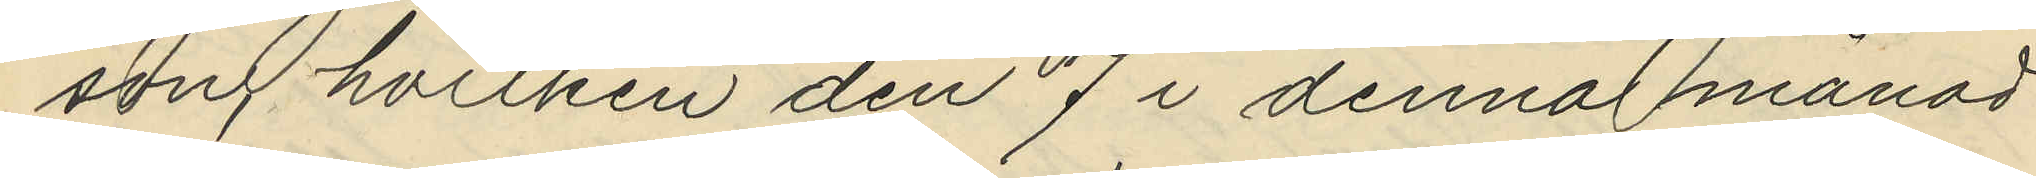song hvilken den 7 i denna månad
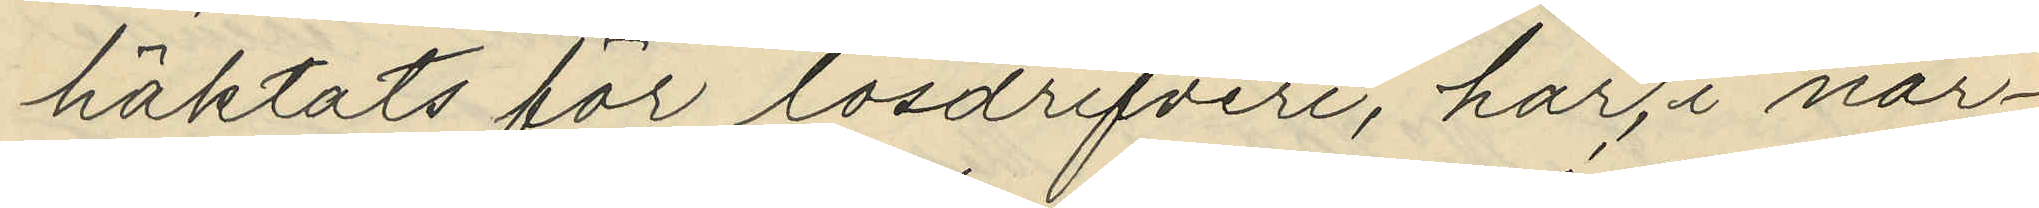häktats för lösdrifveri, har, i när¬
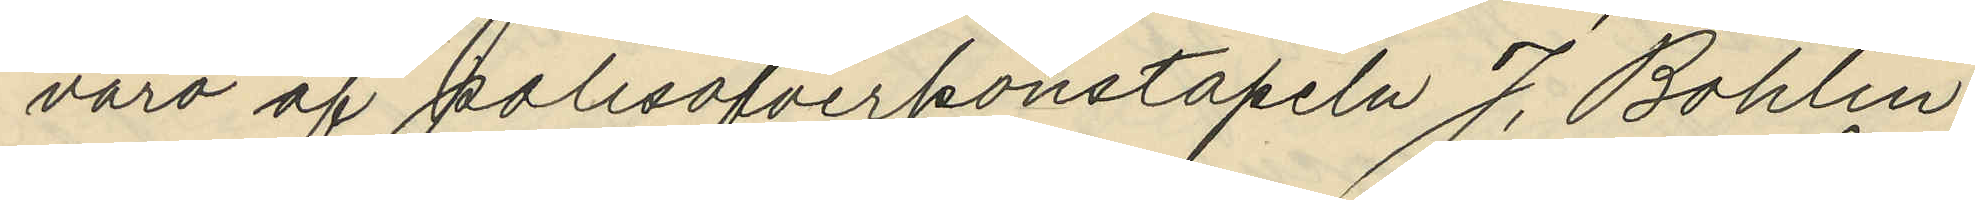varo af polisöfverkonstapeln J. Bohlin
